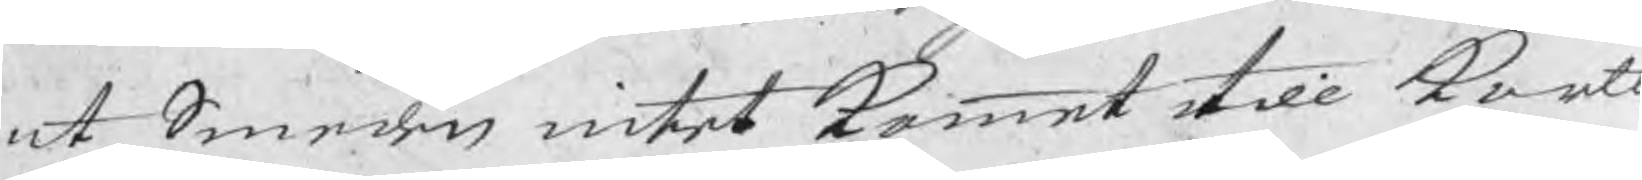at Smeden intet kommet till kort
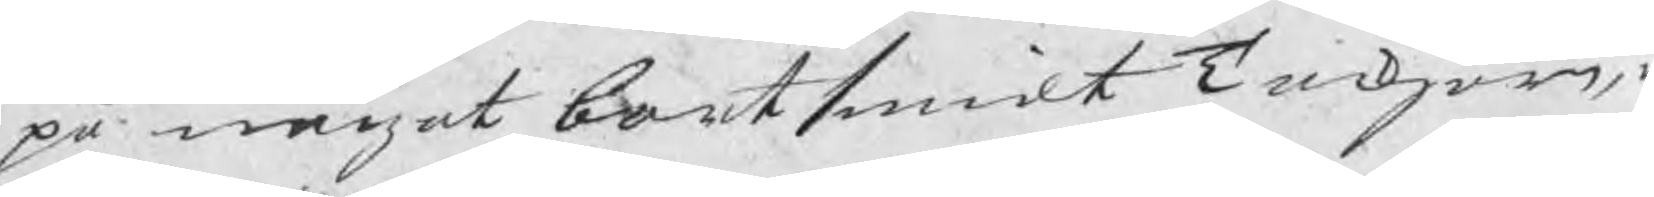på något bortsmidt Tackjärn,
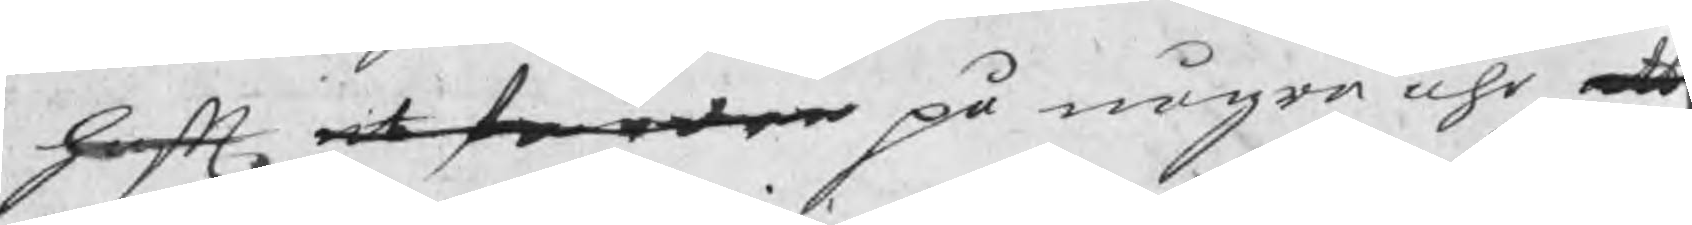haft at fordra på några åhr att
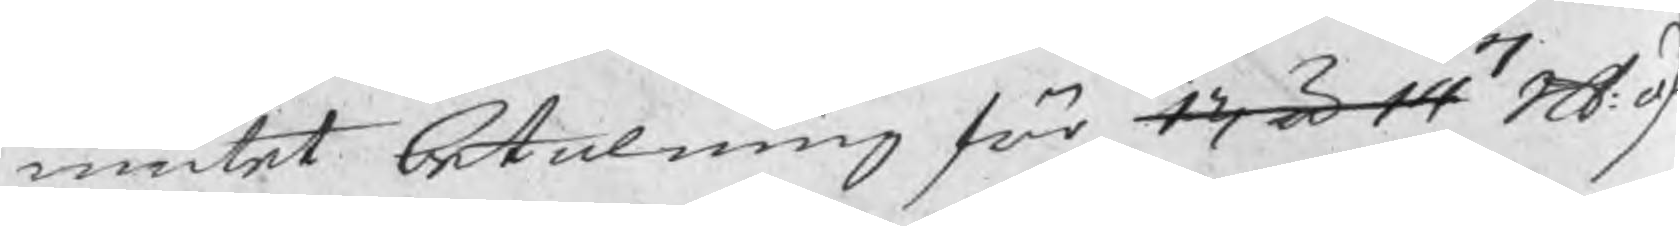niutet betalning för 13 à 14 Skl öf
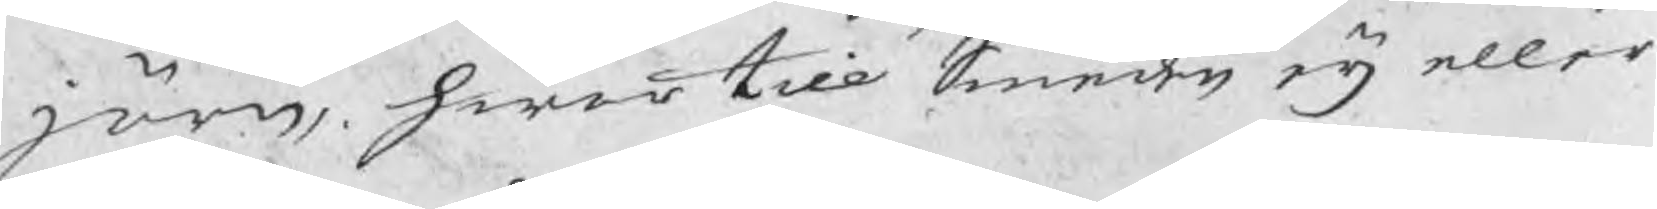järn, hwar till Smeden eij eller
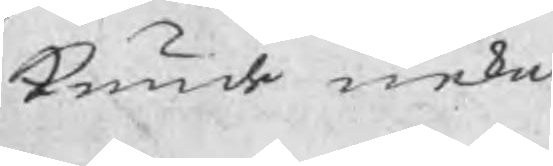kunde neka
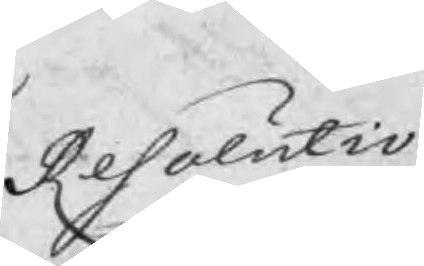Resolutio
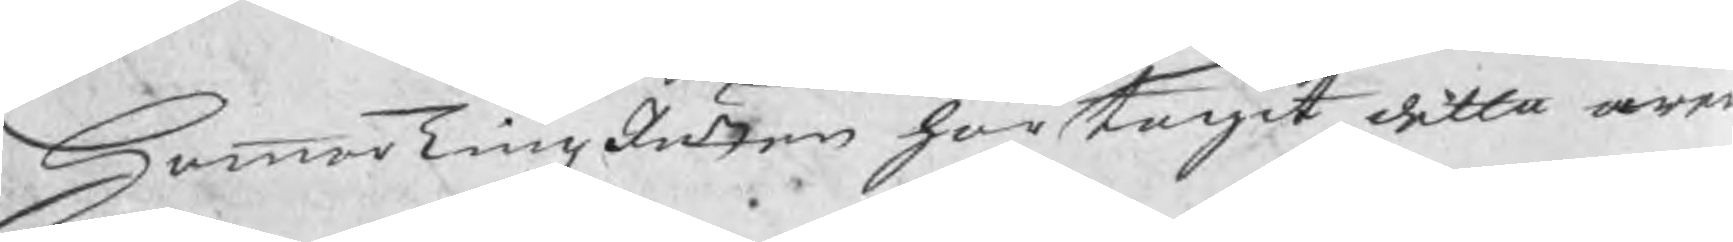HammarTingzRätten har tagit detta ären
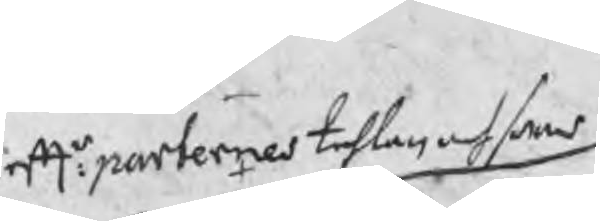eftr: parternes tahlan och swar
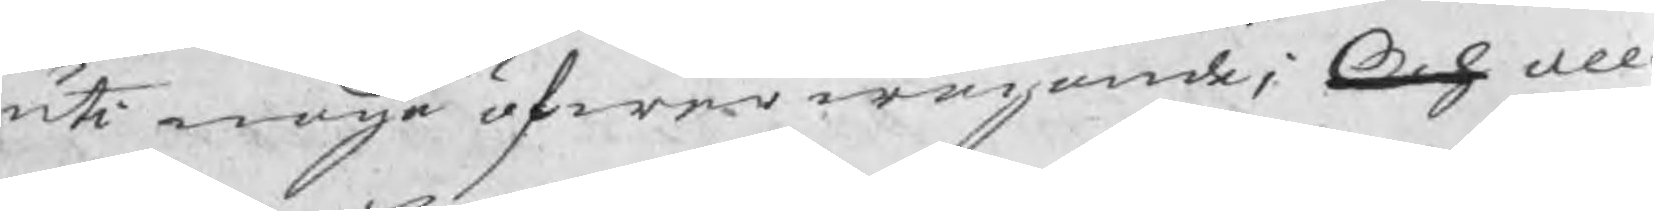uti noga öfwerwägande; Och all
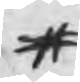#
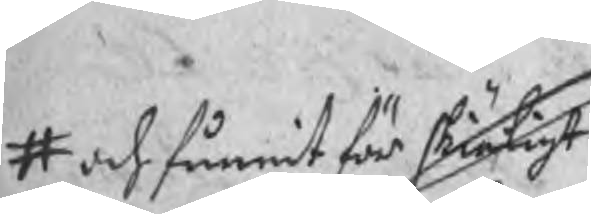# och funnit för skiäligt
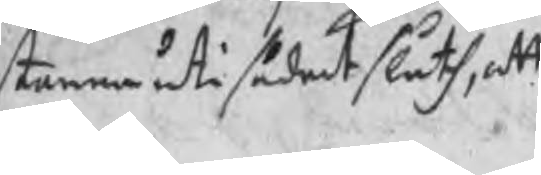stanna uti sådant sluth, att
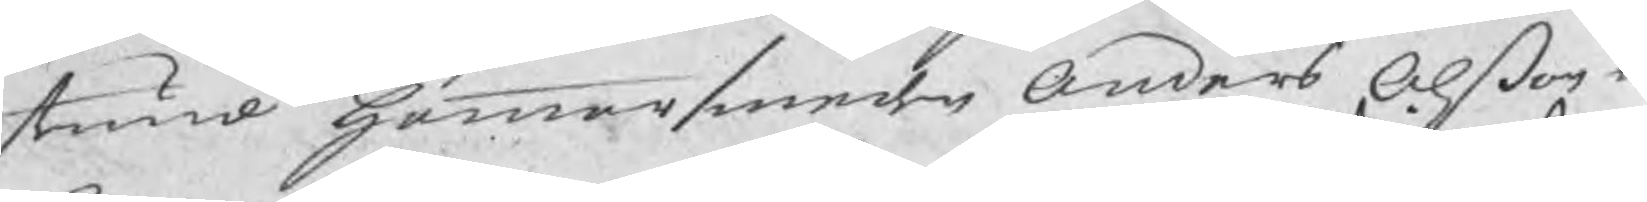stund hammarsmeden Anders Olson w
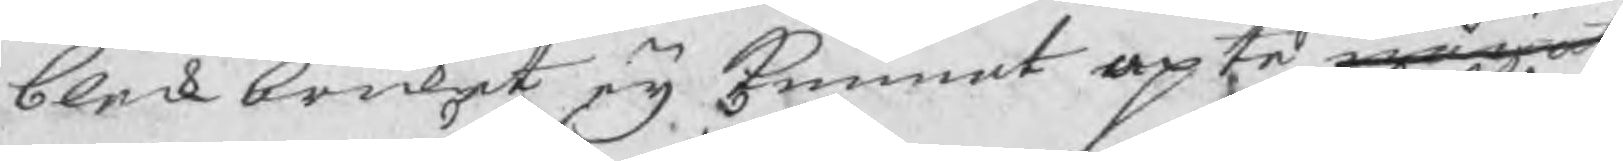bleckbruket eij kunnat upte något
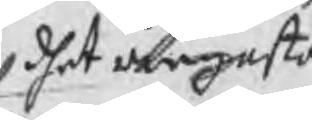dhet ringaste
